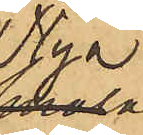Nya
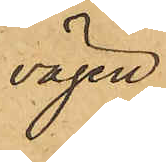vägen
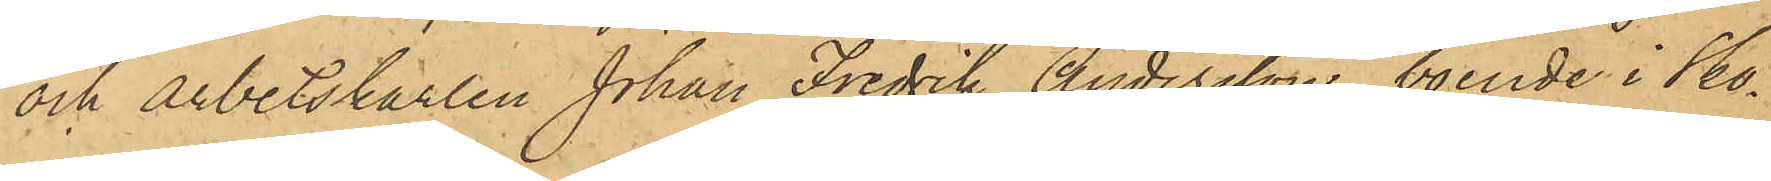och arbetskarlen Johan Fredrik Andersson, boende i Sko¬
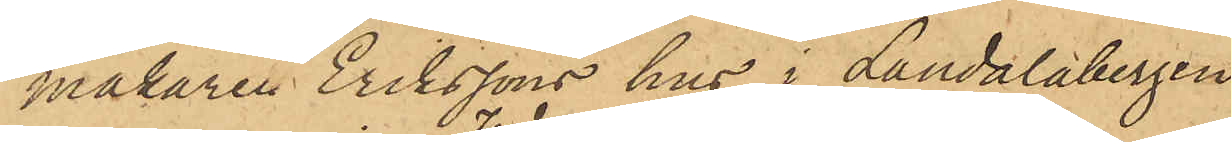makaren Erikssons hus i Landalabergen
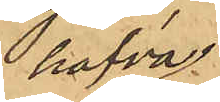hafva
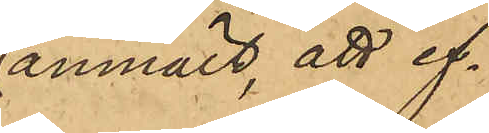anmält, att ef¬
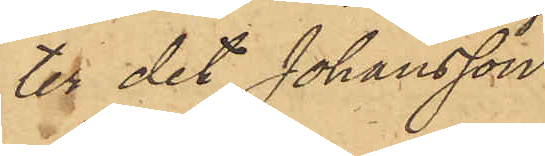ter det Johansson
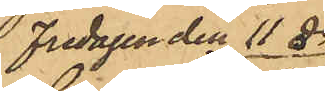Fredagen den 11 ds
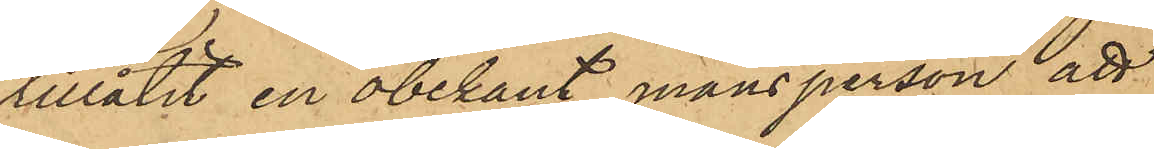tillåtit en obekant mansperson att
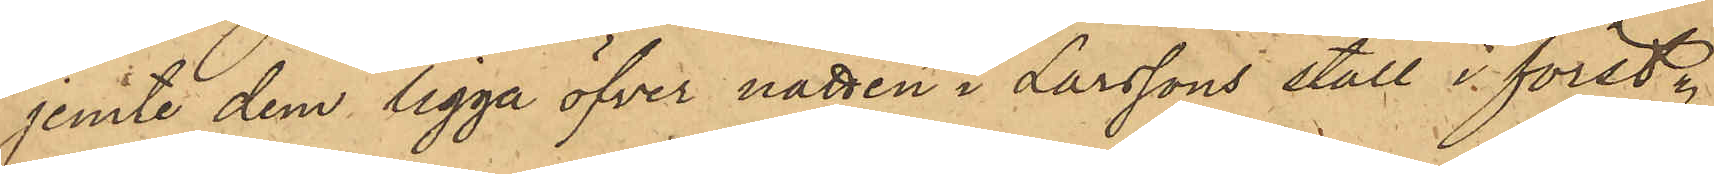jemte dem ligga öfver natten i Larssons stall i först
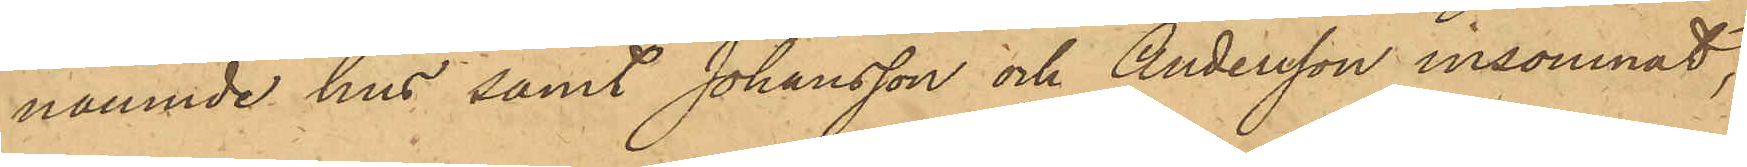nämnde hus samt Johansson och Andersson insomnat,
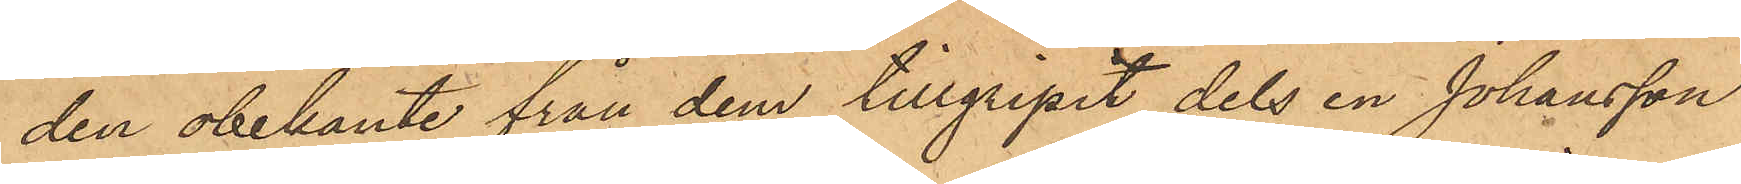den obekante från dem tillgripit dels en Johansson
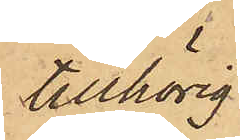tillhörig
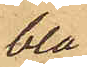blå
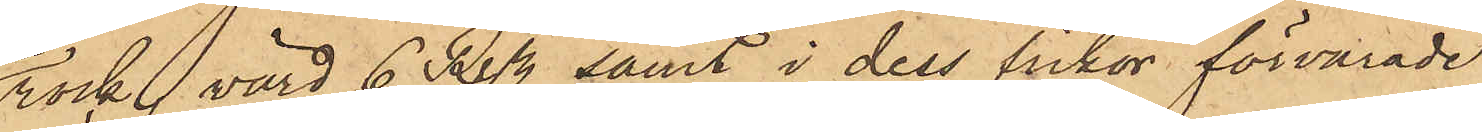rock, värd 6 Rdr samt i dess fickor förvarade
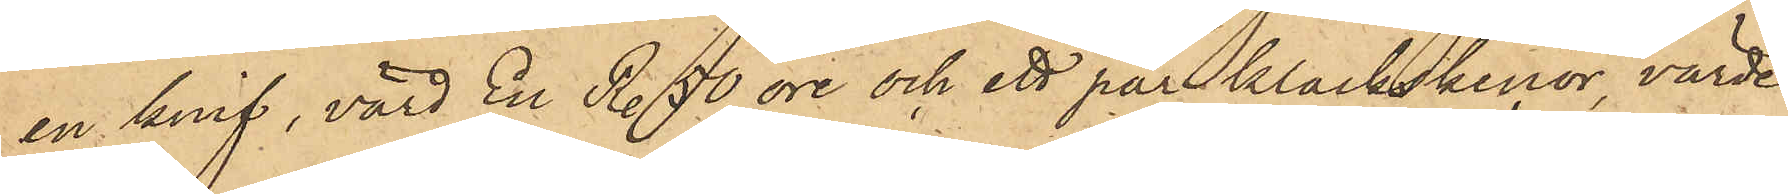en knif, värd En Rdr 50 öre och ett par klackskenor, värde
